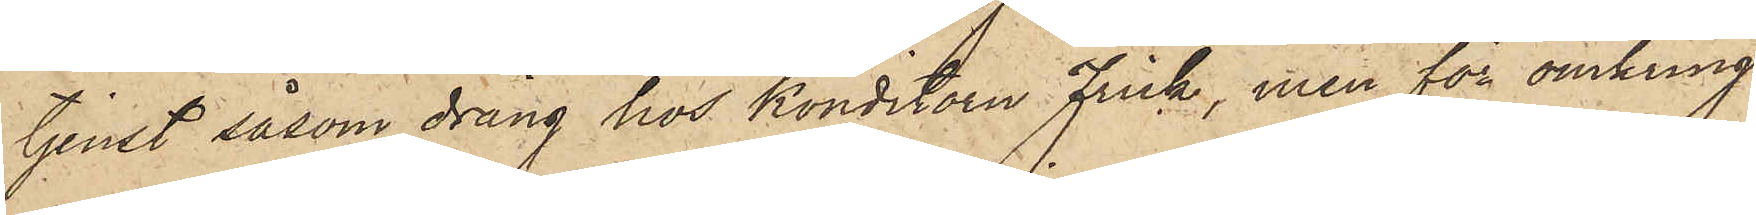tjenst såsom dräng hos konditorn Frick, men för omkring
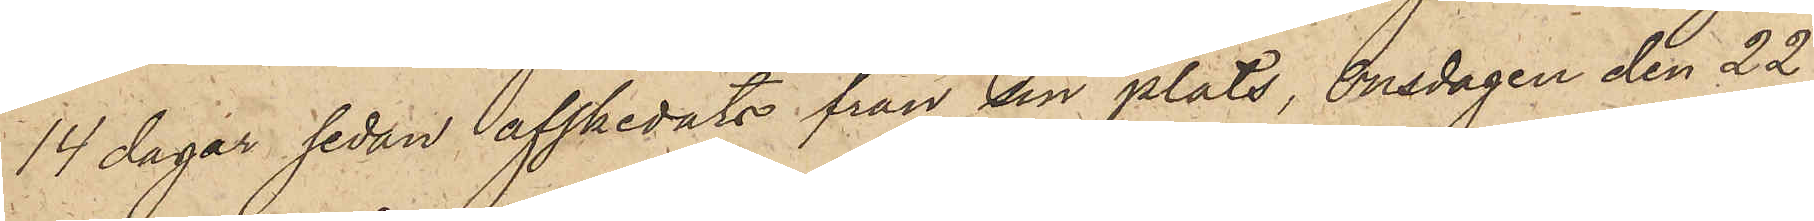14 dagar sedan afskedats från sin plats, onsdagen den 22
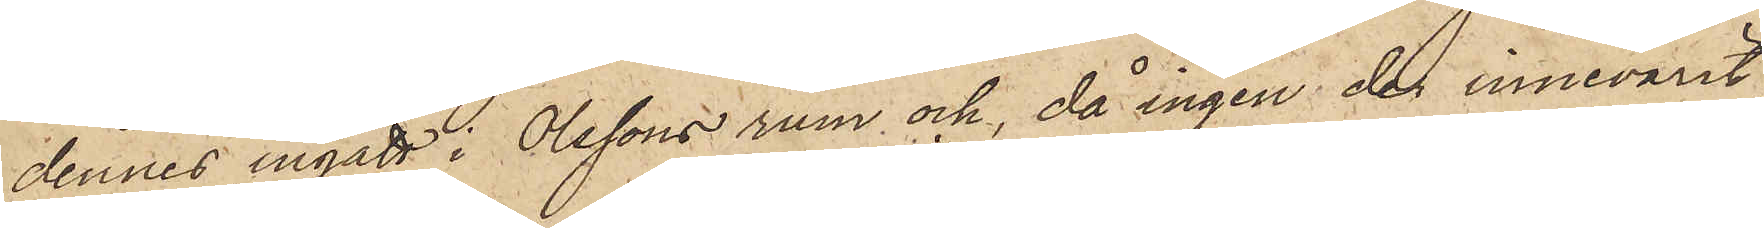dennes ingått i Olssons rum och, då ingen der innevarit,
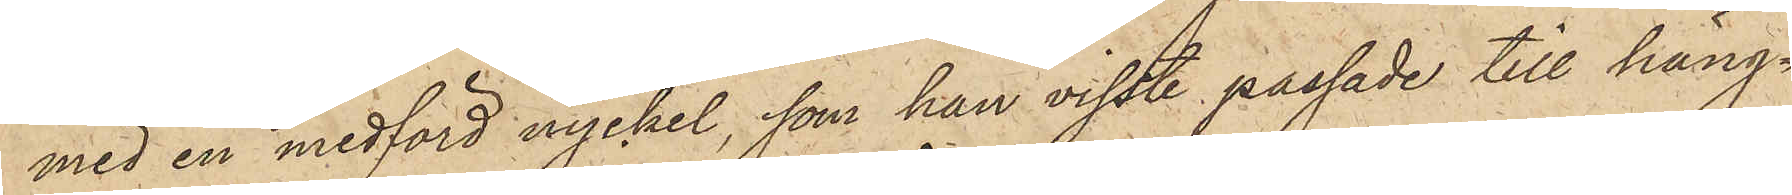med en medförd nyckel, som han visste passade till häng¬
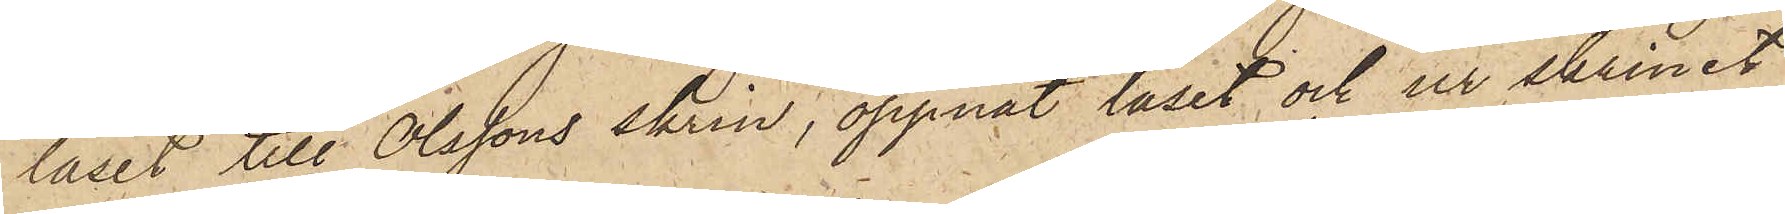låset till Olssons skrin, öppnat låset och ur skrinet
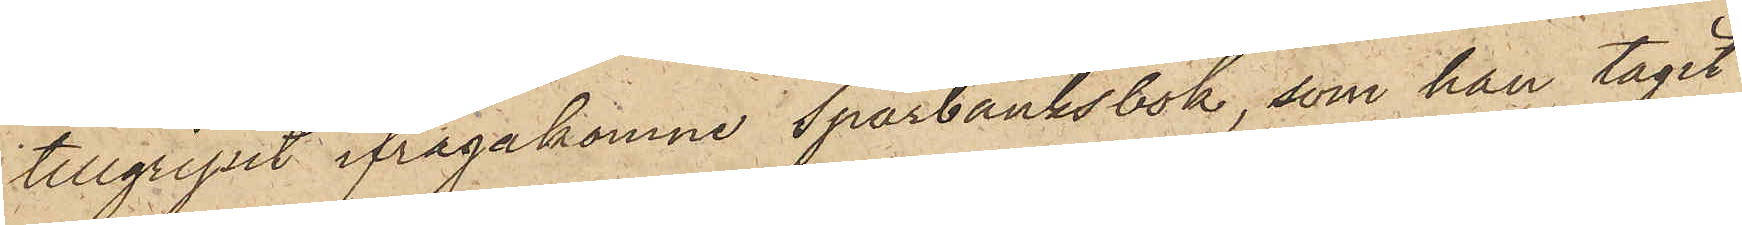tillgripit ifrågakomne Sparbanksbok, som han tagit
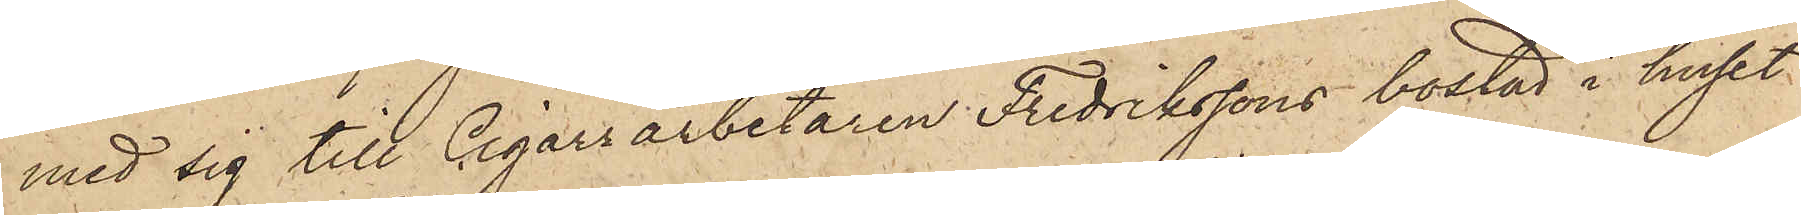med sig till Cigarrarbetaren Fredrikssons bostad i huset
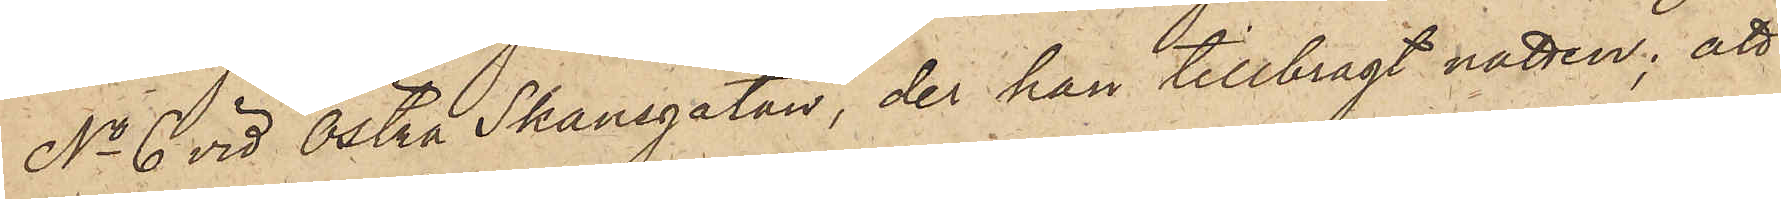No 6 vid Östra Skansgatan, der han tillbragt natten; att
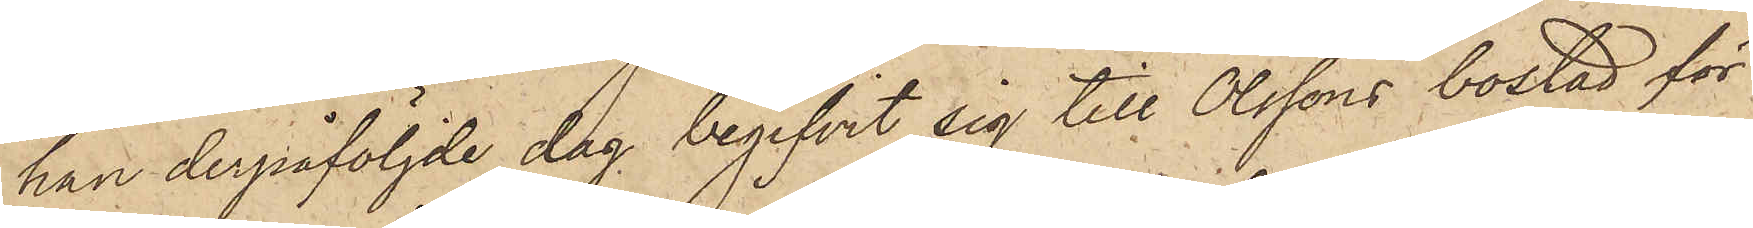han derpåföljde dag begifvit sig till Olssons bostad för
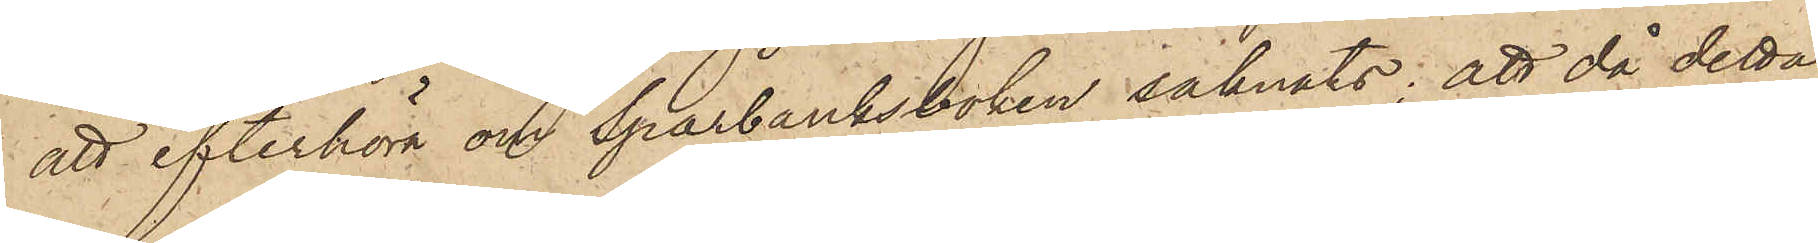att efterhöra om Sparbanksboken saknats; att då detta
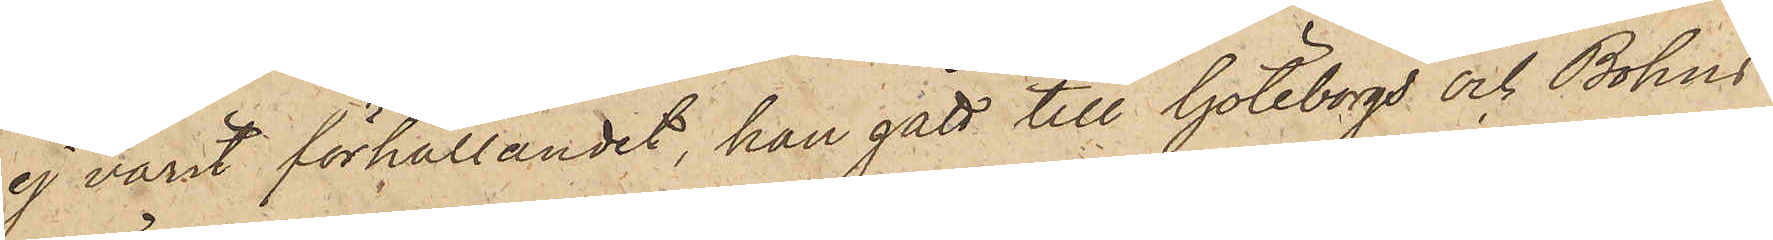ej varit förhållandet, han gått till Göteborgs och Bohus
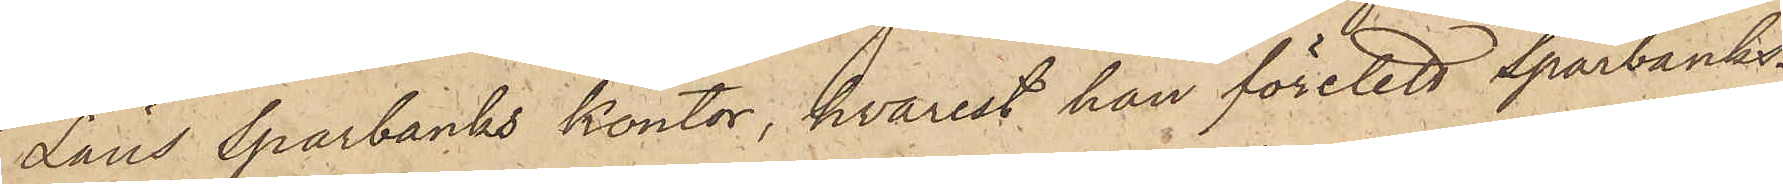Läns Sparbanks kontor, hvarest han företett Sparbanks¬
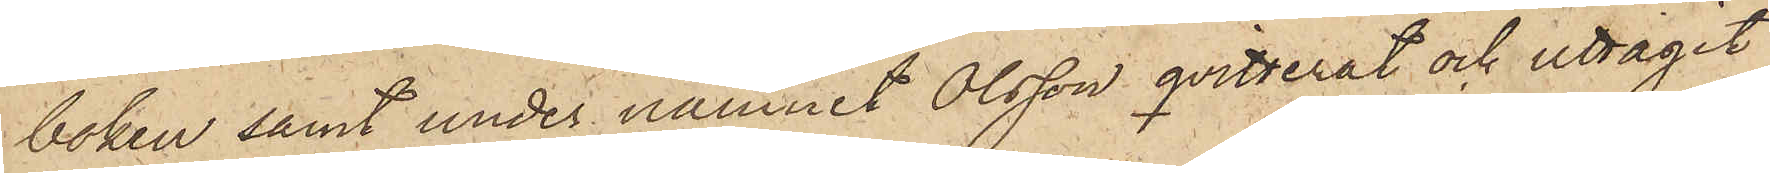boken samt under namnet Olsson qvitterat och uttagit
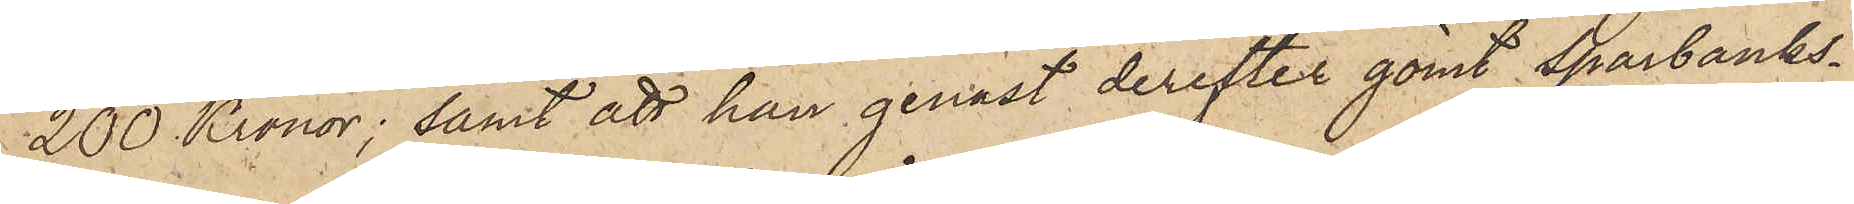200 Kronor; samt att han genast derefter gömt Sparbanks¬
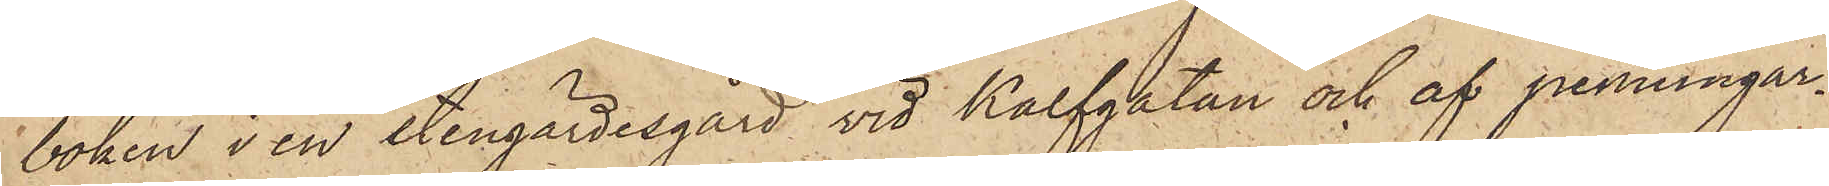boken i en stengärdesgård vid Kalfgatan och af penningar¬
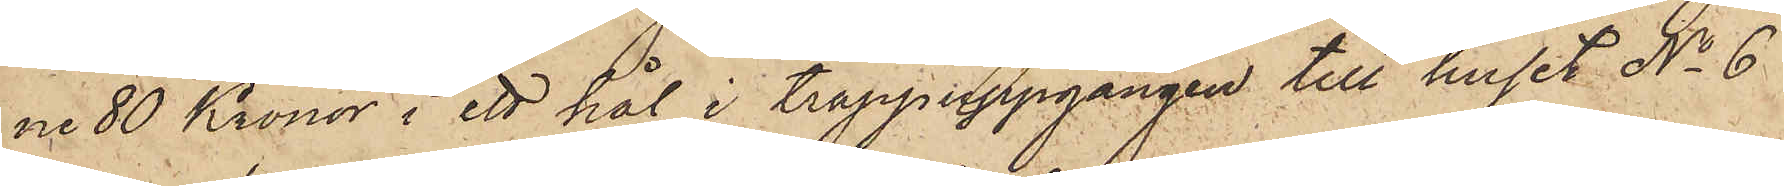ne 80 Kronor i ett hål i trappuppgången till huset No 6
